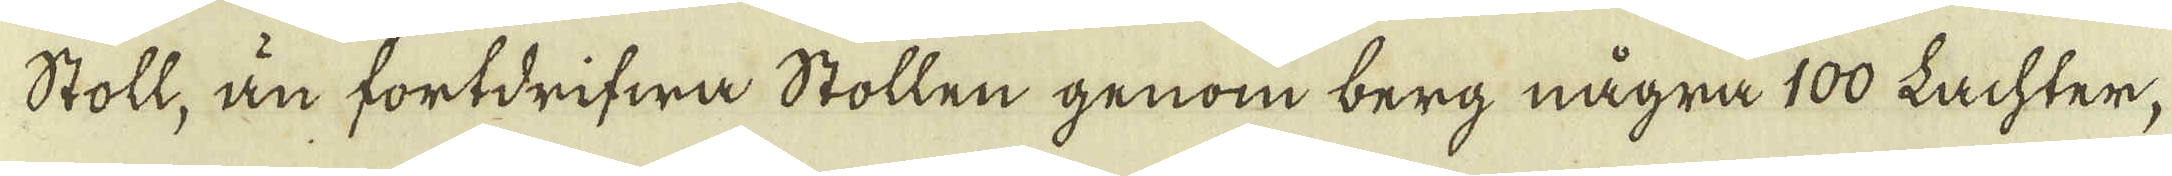Stoll, än fortdrifwa Stollen genom berg några 100 Lachter,
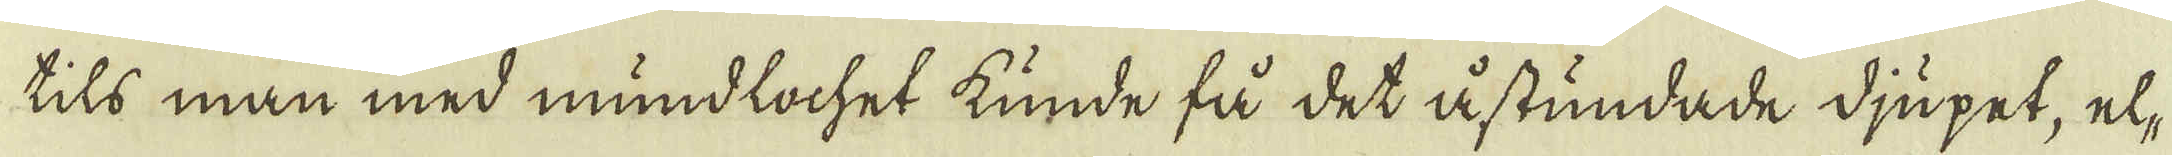tils man med mundlochet kunde få det åstundade djupet, el-
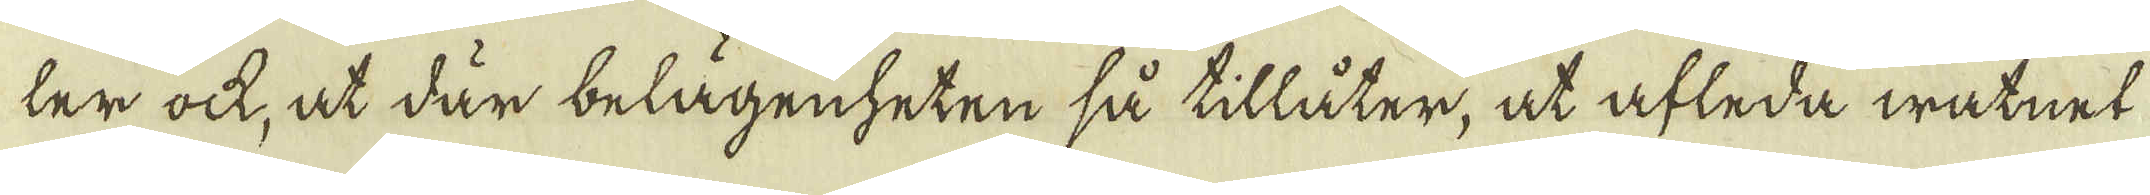ler ock, at där belägenheten så tillåter, at afleda watnet
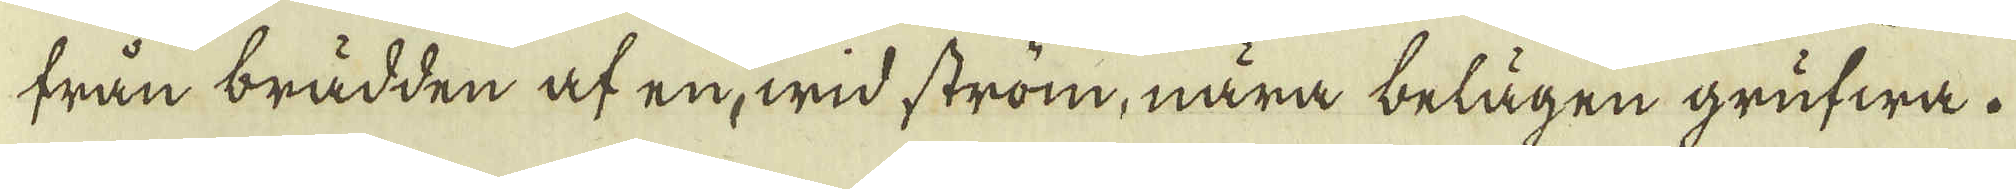trån brädden af en, wid strom, nära belägen grufwa.
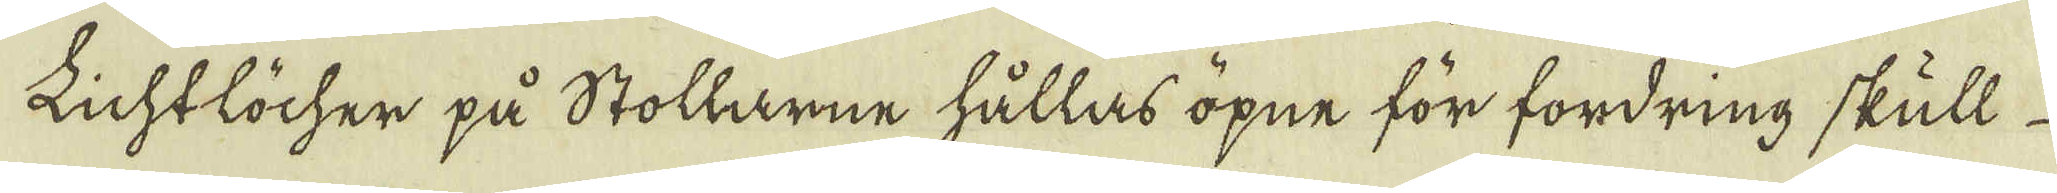Lichtlöcher på Stollarne hållas öpne för fordring skull
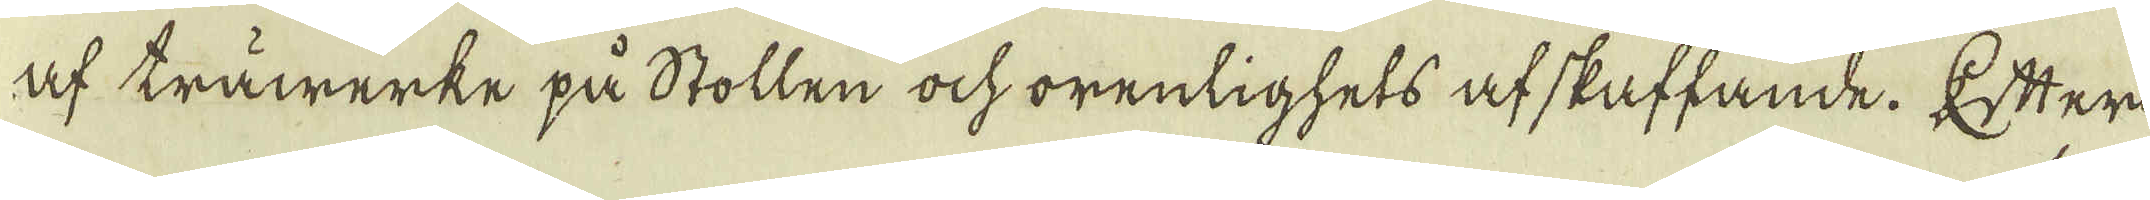af träwärke på Stollen ock orenlighets afskuffande. Efter
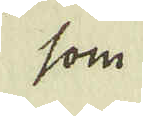som
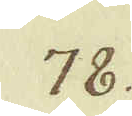78.
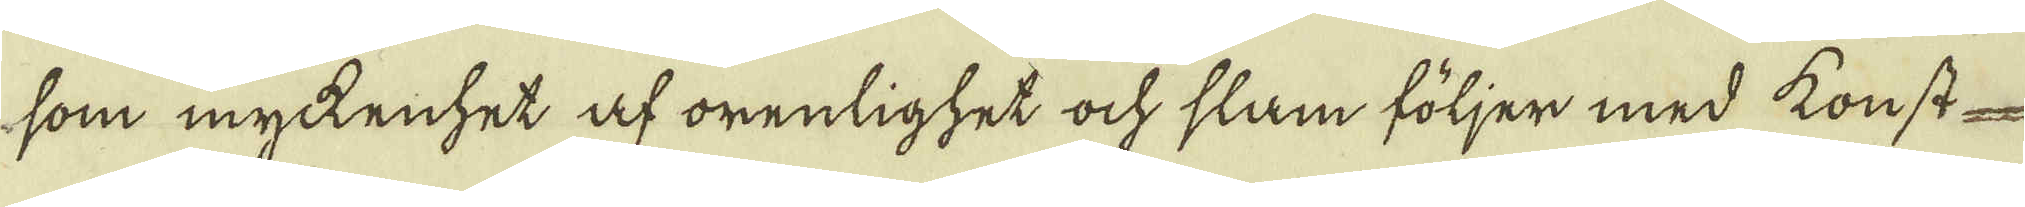som mykenhet af orenlighet ock slam följer med konst
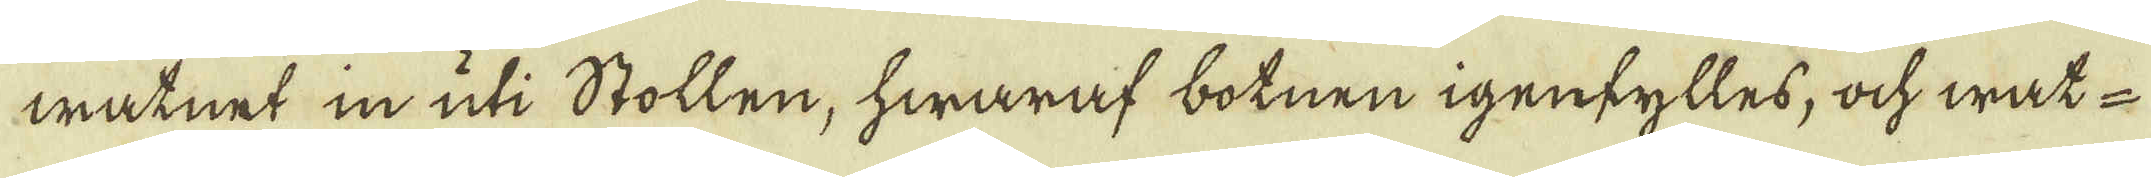watnet in uti Stollen, hwaraf botnen igenfylles, ock wat-
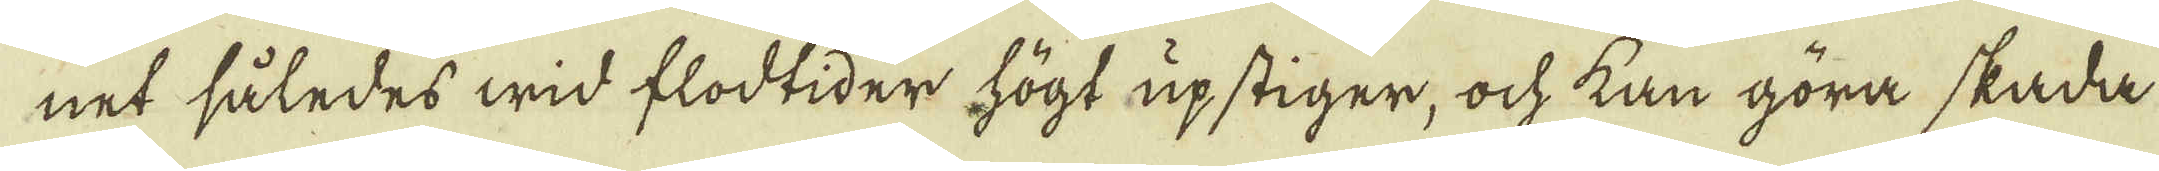net således wid flodtider högt upstiger, ock kan göra skada
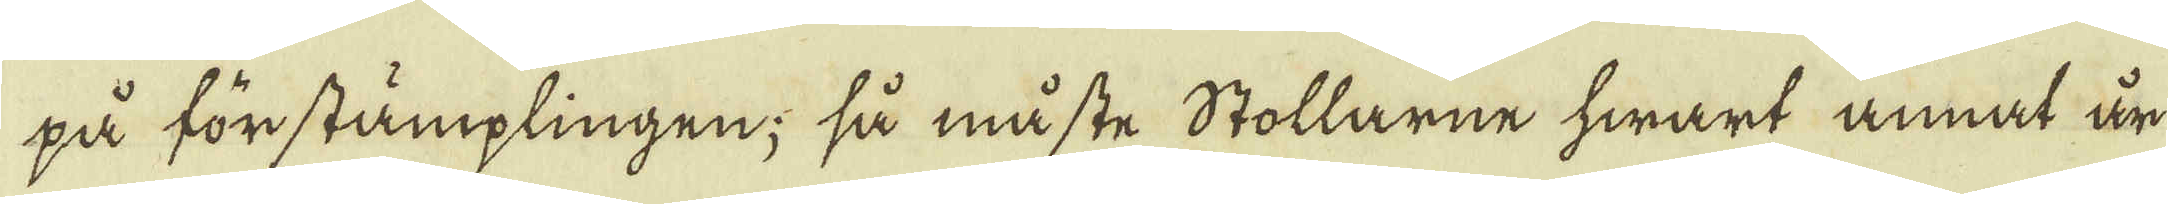på förstämplingen; så måste Stollarne hwart annat är
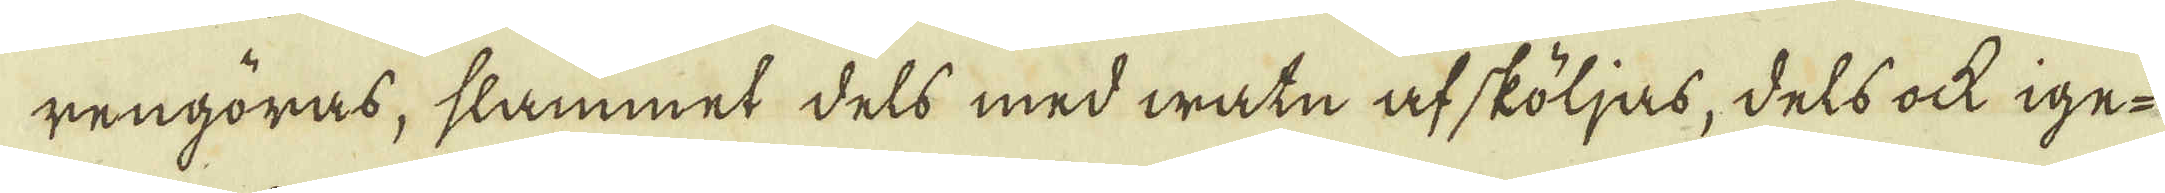rengöras, slammet dels med watn afsköljas, dels ock ige-
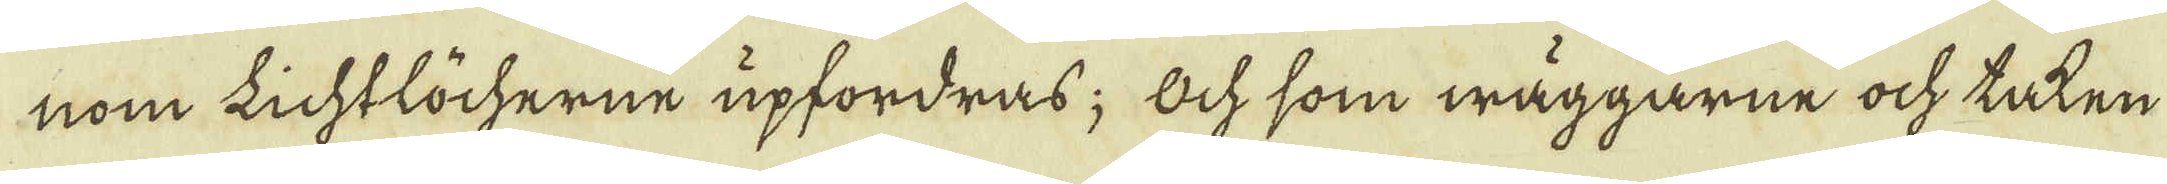nom Lichtlöcherne upfordras; Ock som wäggarne ock taten
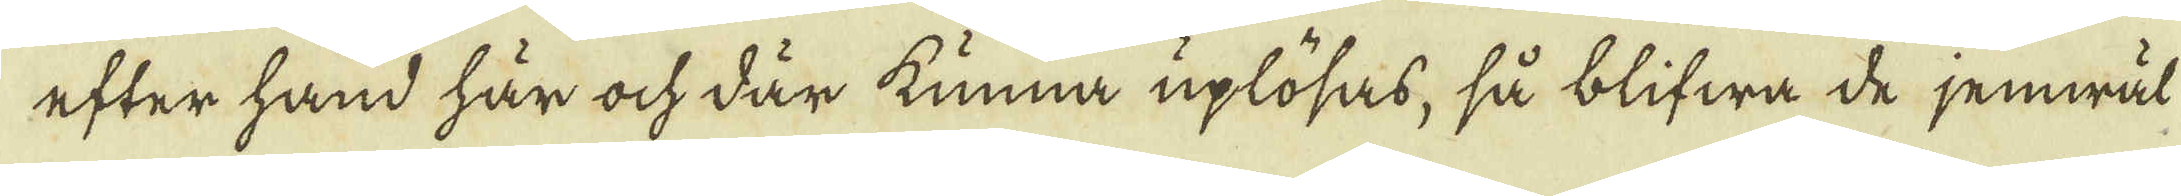efter hand här ock där kunna uplösas, så blifwa de jemwäl
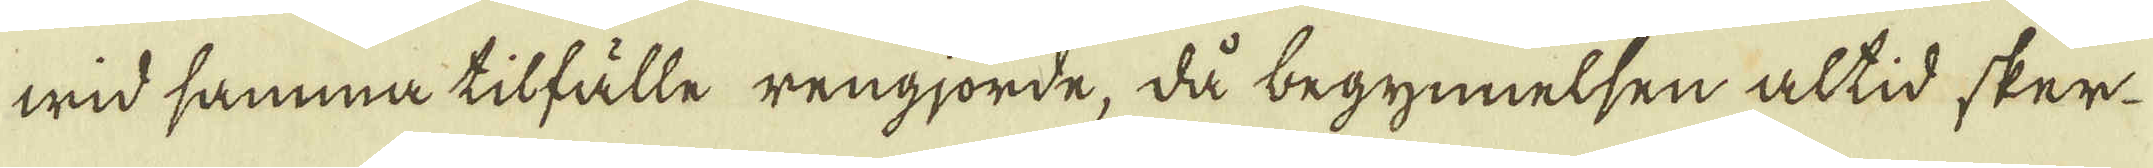wid samma tilfälle rengjorde, då begynnelsen altid sker
